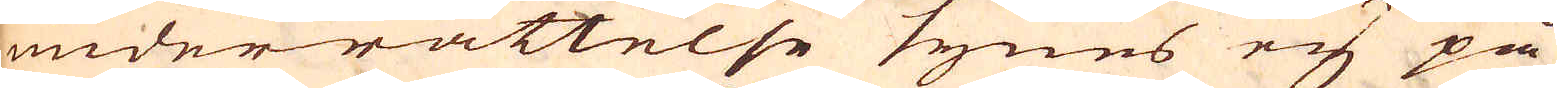underrättelse synes ej på
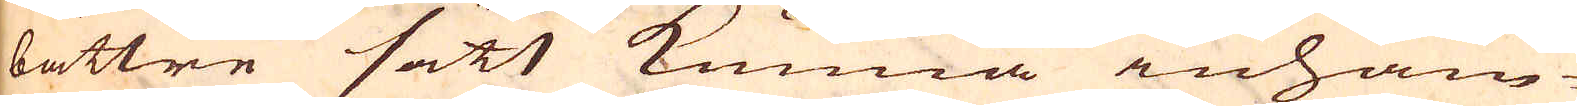bättre sätt kunna inhäm-
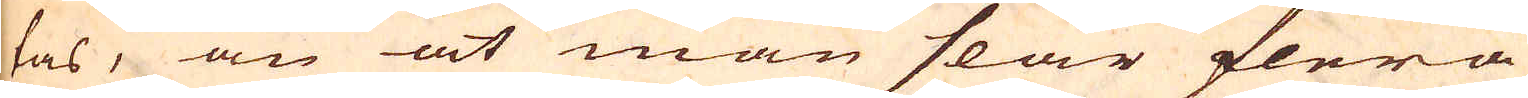tas, än at man slår flera
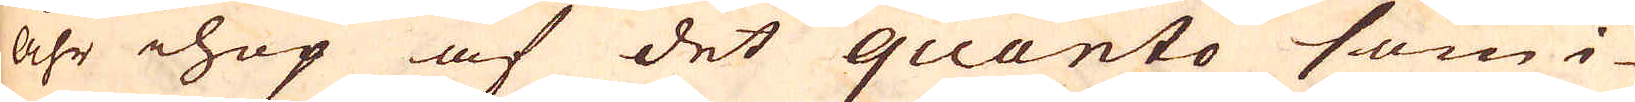åhr ihop af det quanto som i-
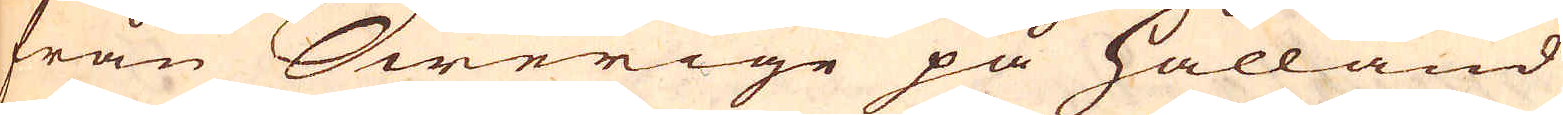från Swerige på Hålland
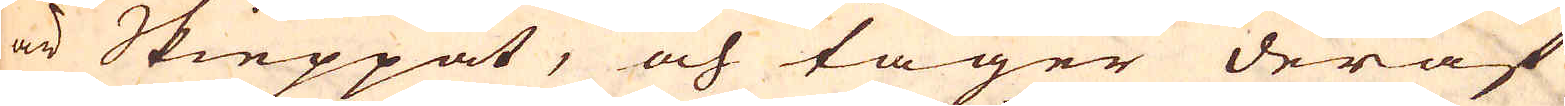är Skieppat, och tager deraf
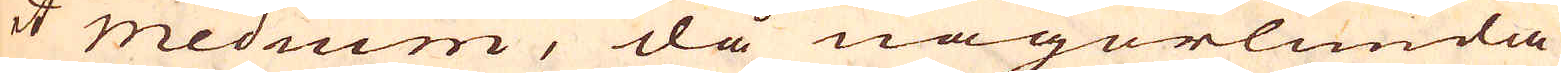et medium, då någorlunda
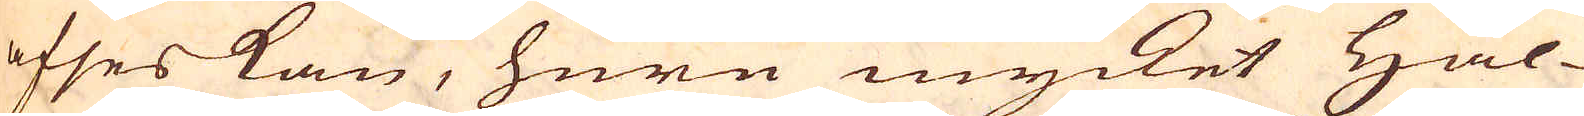afses kan, huru mycket Hål-
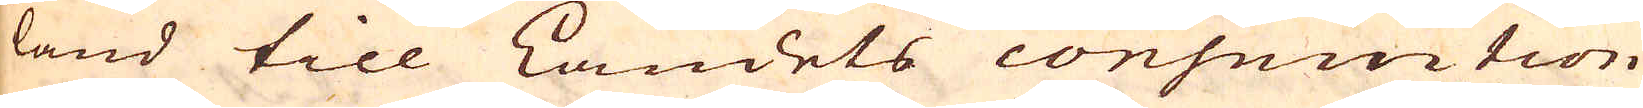land till Landets consumtion
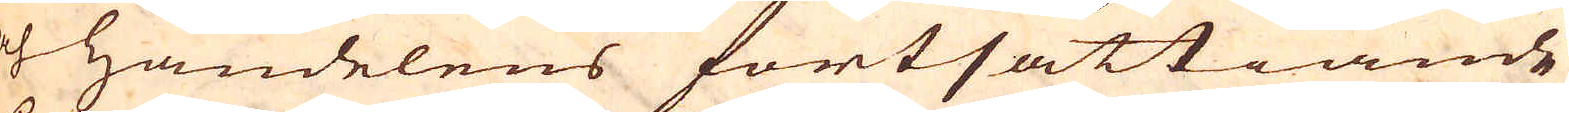och handelens fortsättiande
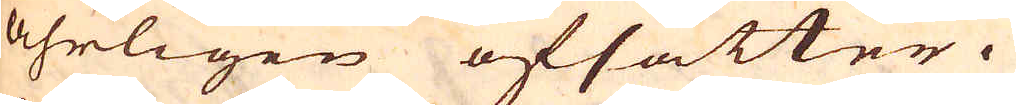åhrligen afsätter.
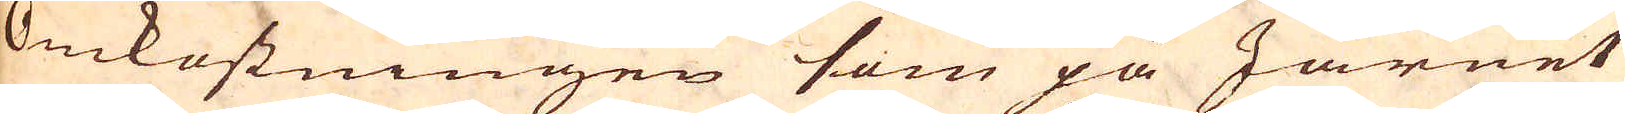Omkostningen som på Järnet
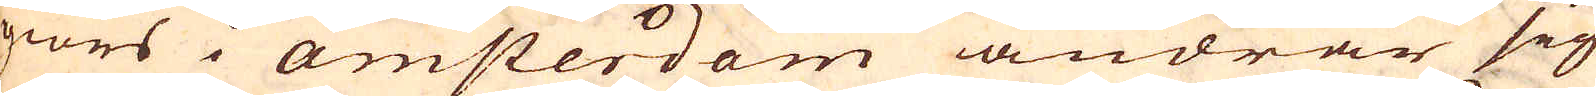giörs i amsterdam ändrar sig
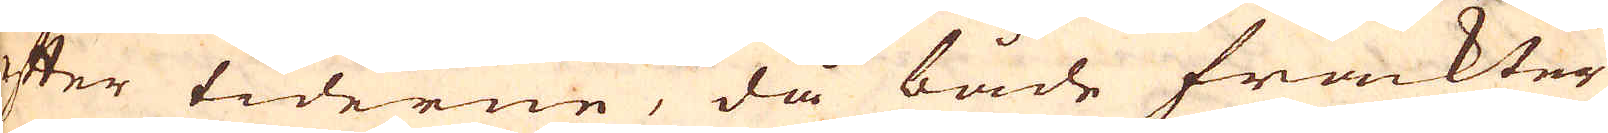efter tiderne, då både frackter
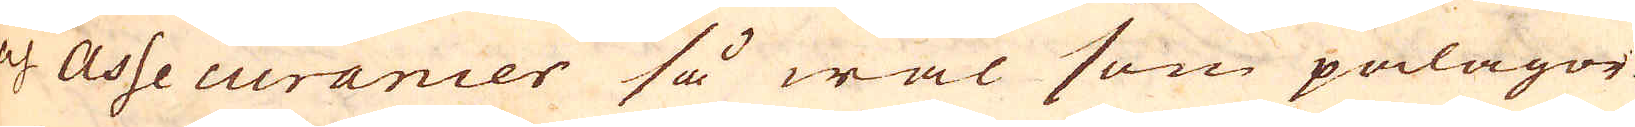och Assecurancer så wäl som pålagor
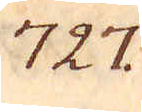727.
